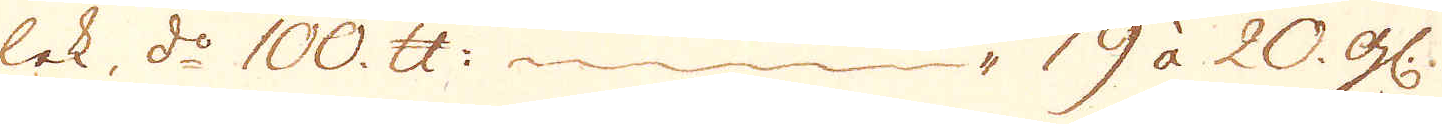lek, d:o 100. skålpund 19 à. 20 gl:
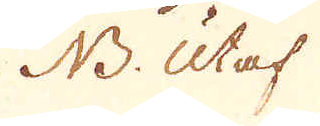NB: Utaf
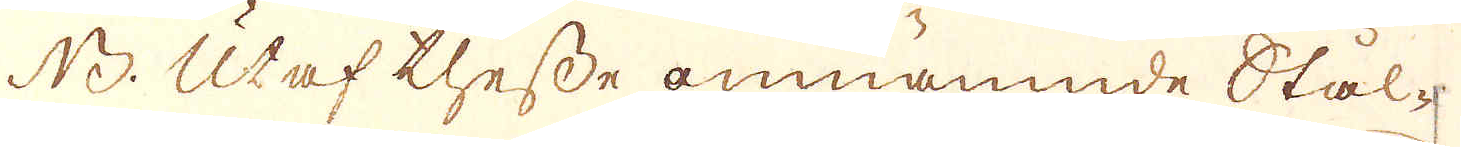NB. Utaf thesse omnämnde Stål-
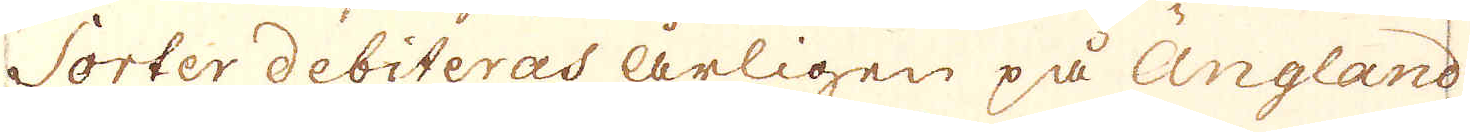Sorter debiteras årligen på Ängland
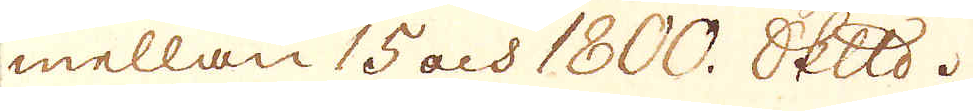mellan 15 och 1800 skeppund.
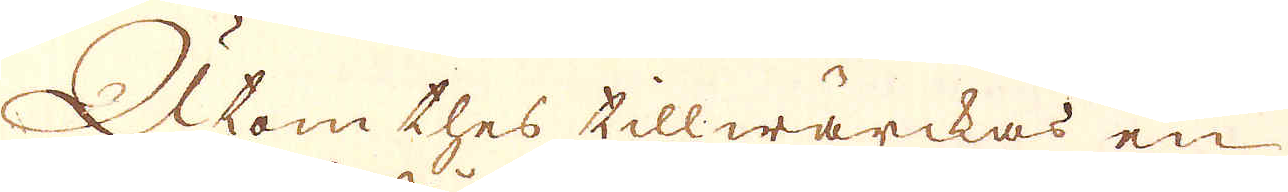Utom thes tillwärckas en
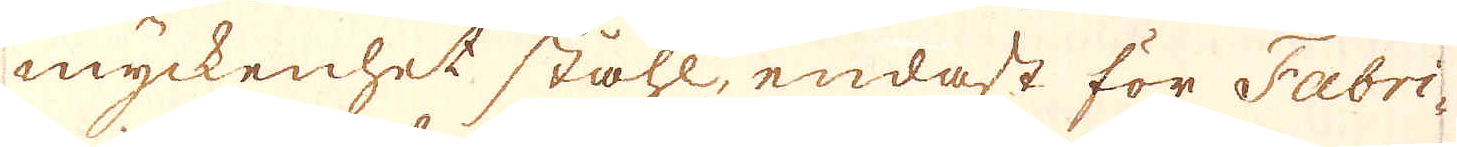myckenhet ståhl, endast för Fabri-
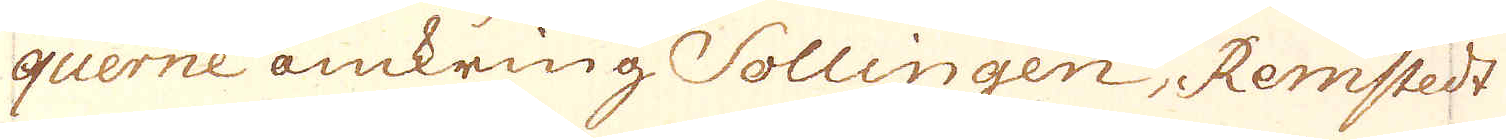querne omkring Sollingen, Remstedt
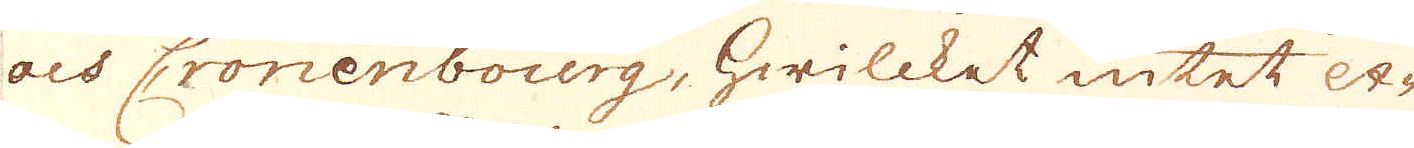och Cronenbourg, hwilcket intet ex-
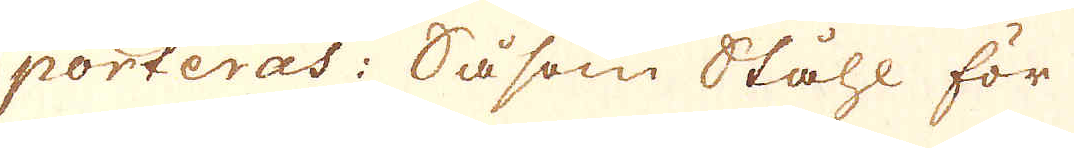porteras: Såsom Ståhl för
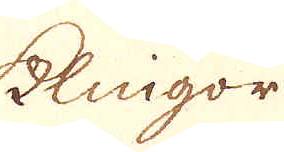Klingor
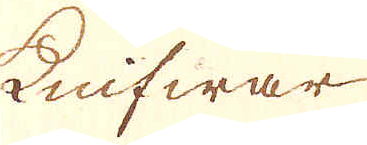Knifwar
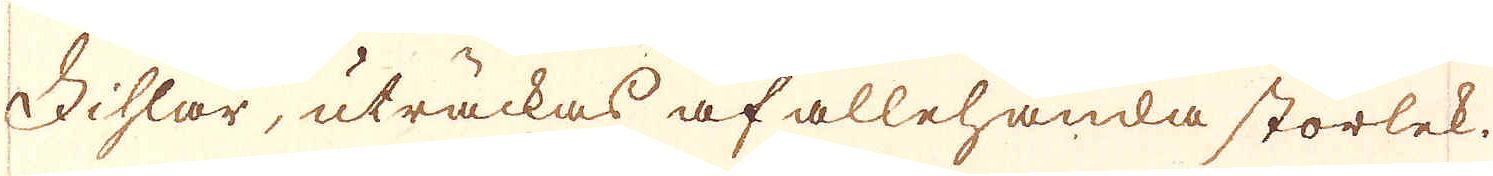Fihlar, uträckas af allehanda storlek.
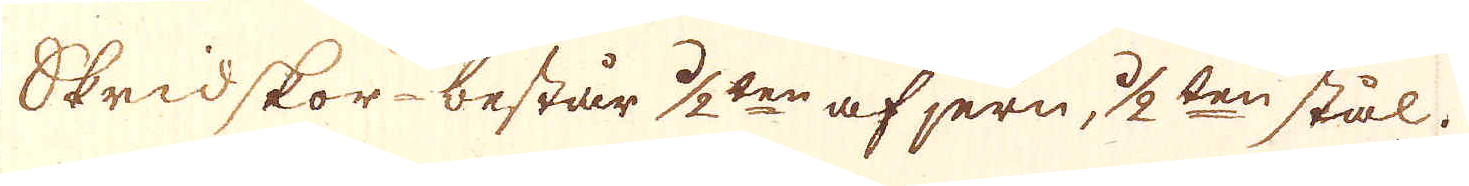Skridskor - består 1/2ten af jern, 1/2ten stål.
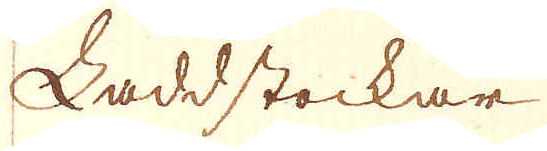Laddstockar
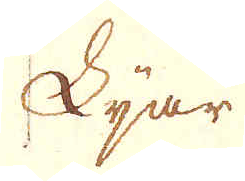Ljar
